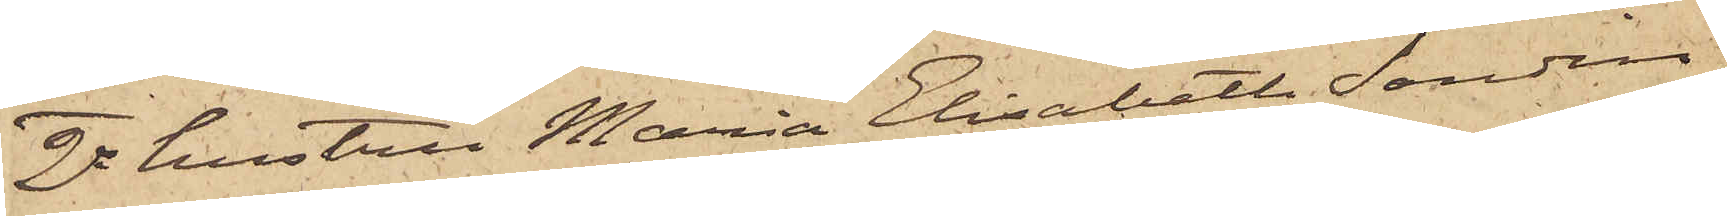3o hustrun Maria Elisabeth Sandin,
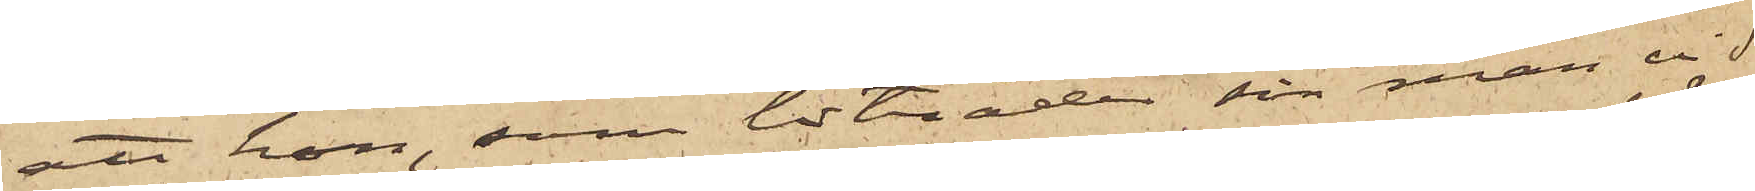att hon, som biträder sin man vid
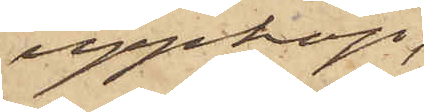uppköp,
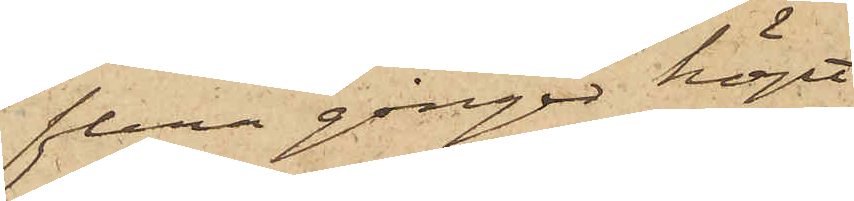flera gånger köpt
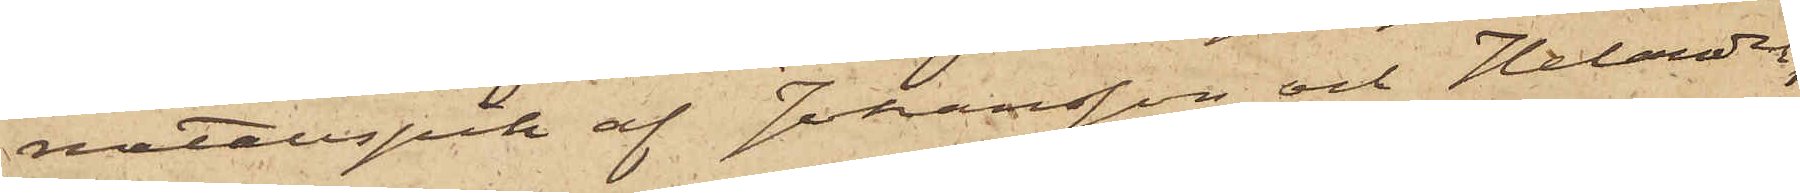metallspik af Johansson och Helander,
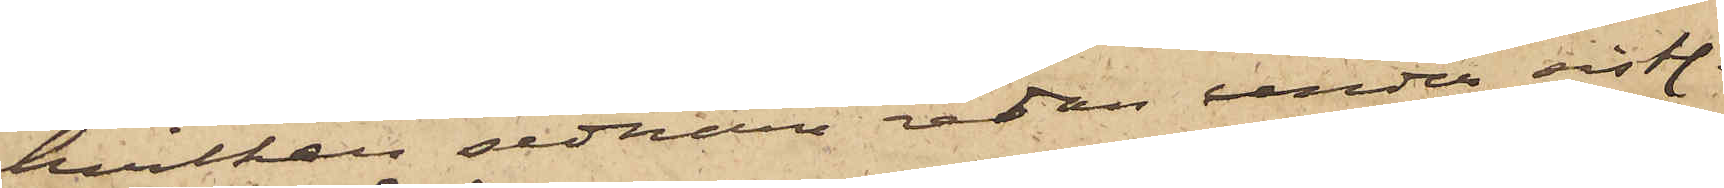hvilken sednare redan under sist.
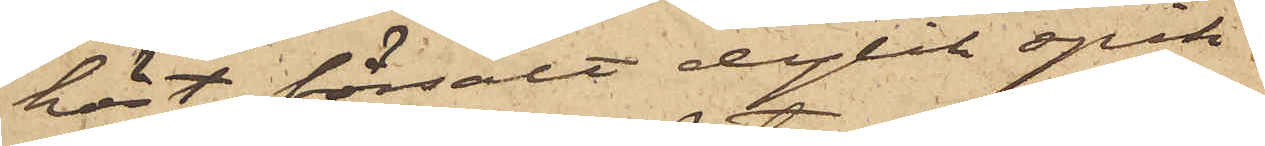höst försålt dylik spik.
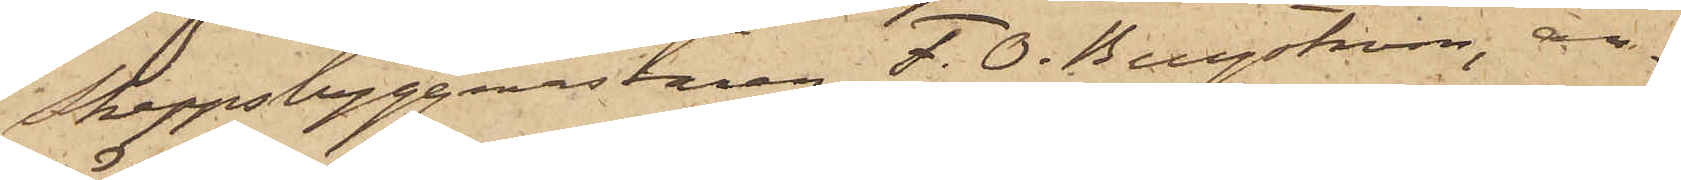Skeppsbyggmästaren F. O. Bergström, an¬
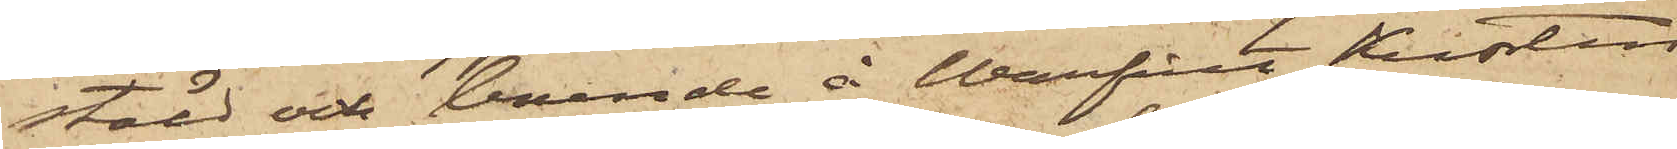stäld och boende å Warfvet Kusten
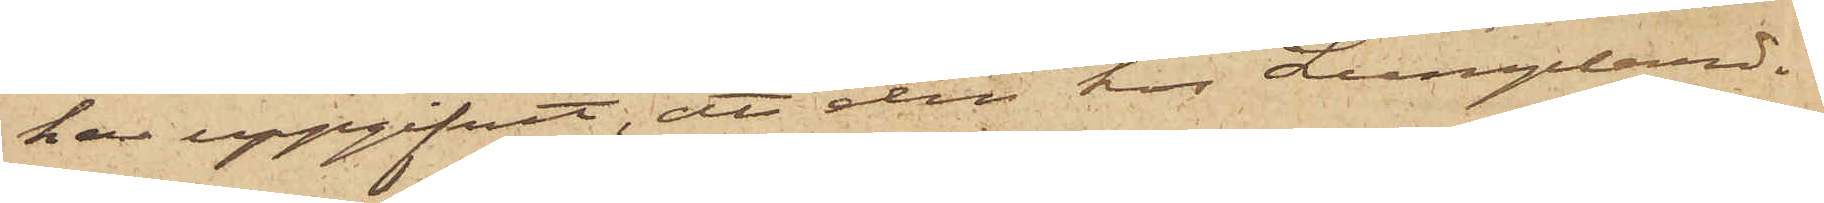har uppgifvit, att den hos Lumphand¬
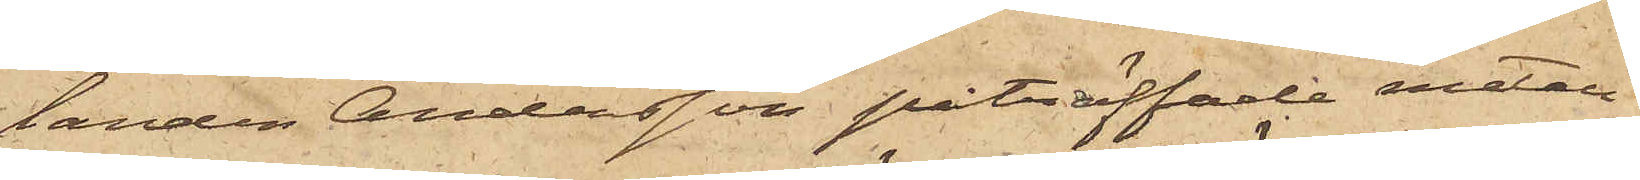landen Andersson påträffade metall¬
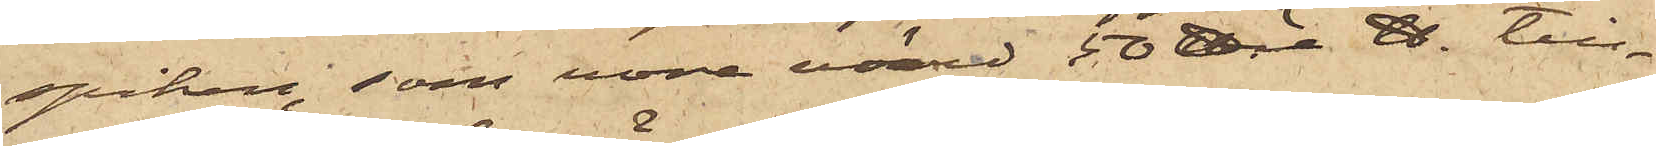spiken, som vore värd 50 öre ℔ till¬
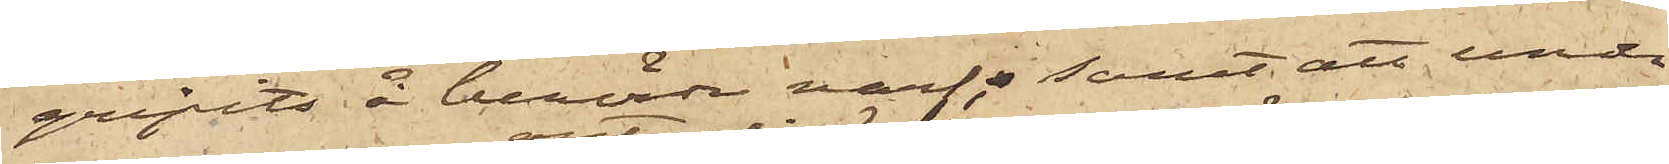gripits å berörde warf; samt att under
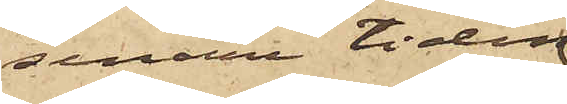senare tiden
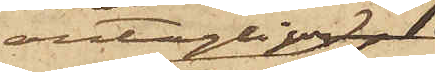antagligen
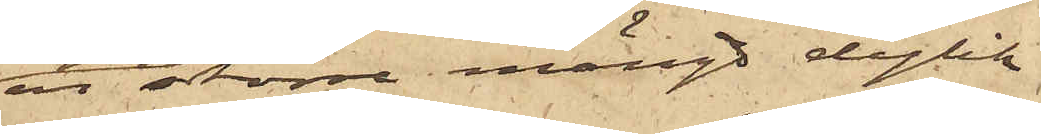en större mängd dylik
